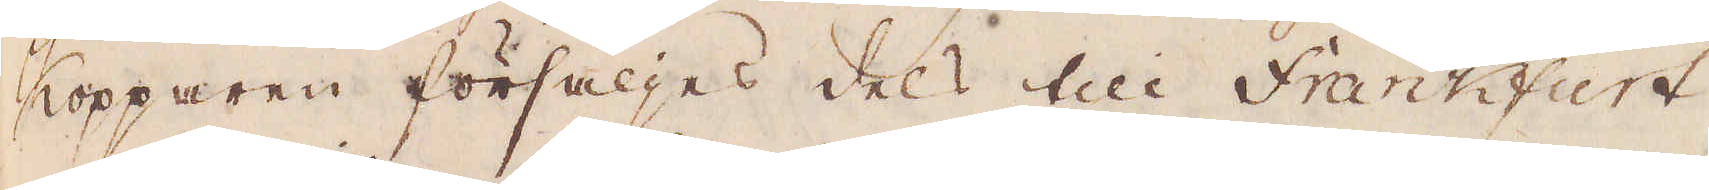Kopparen försäljes dels till Frankfurt
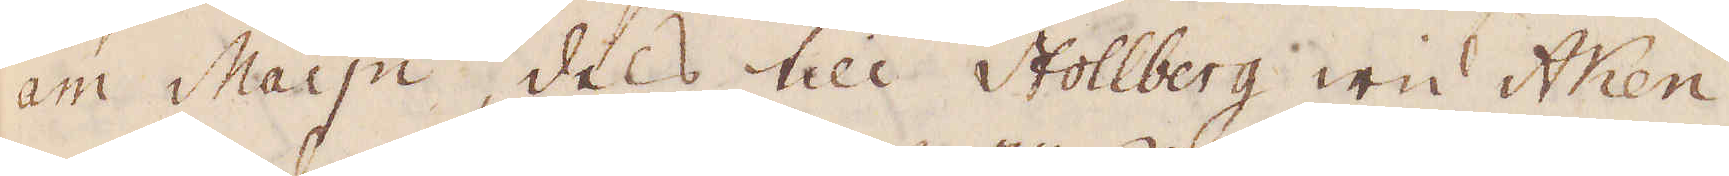am Maijn, dels till Stollberg wid Aken,
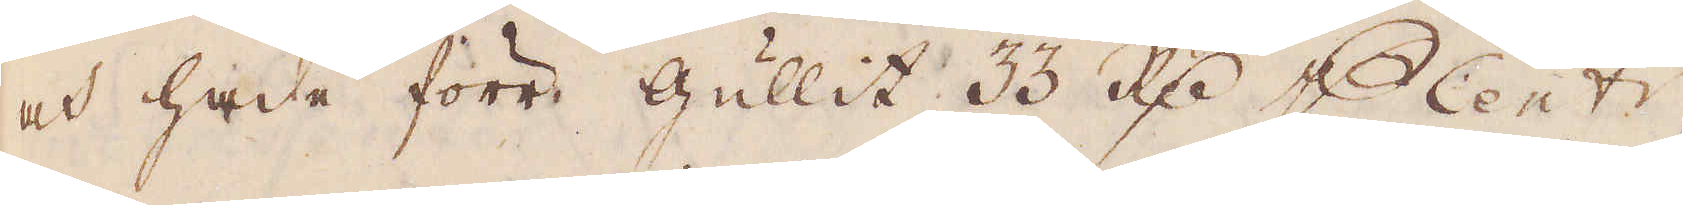och hade förr gullit 33 R:dr p Cent:r,
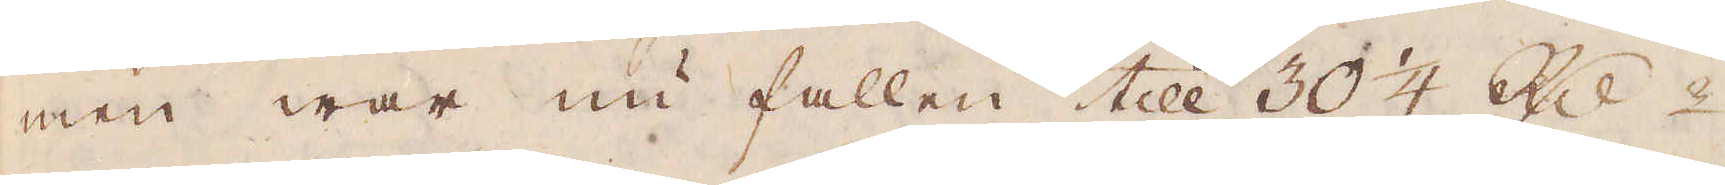men war nu fallen till 30 1/4 Rd:r.
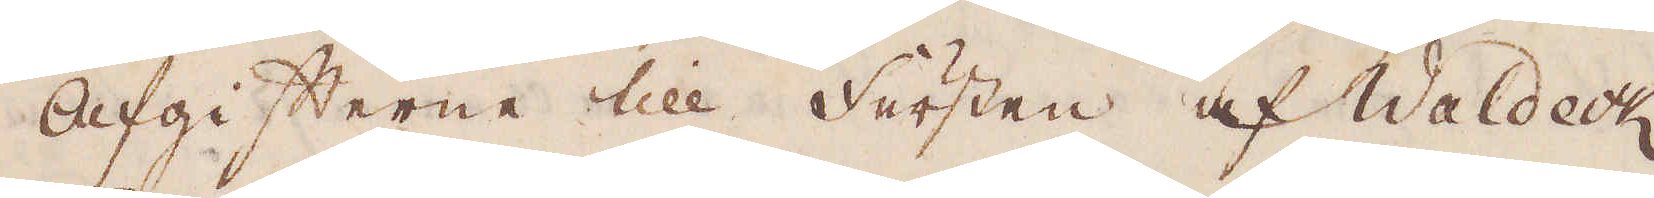Afgifterne till fursten af Waldeck
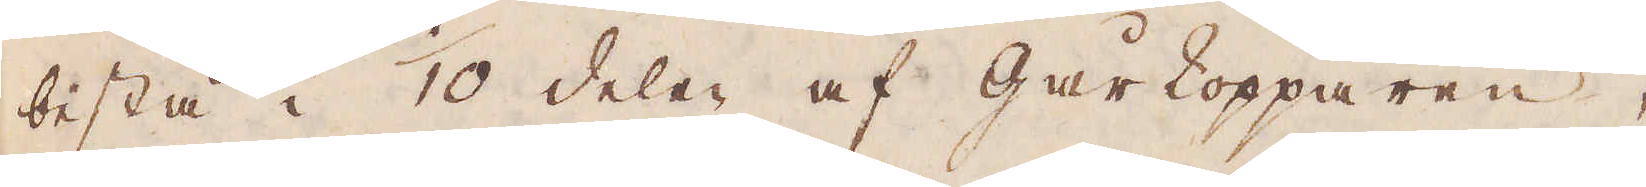bestå i 1/10 deler af gårkopparen,
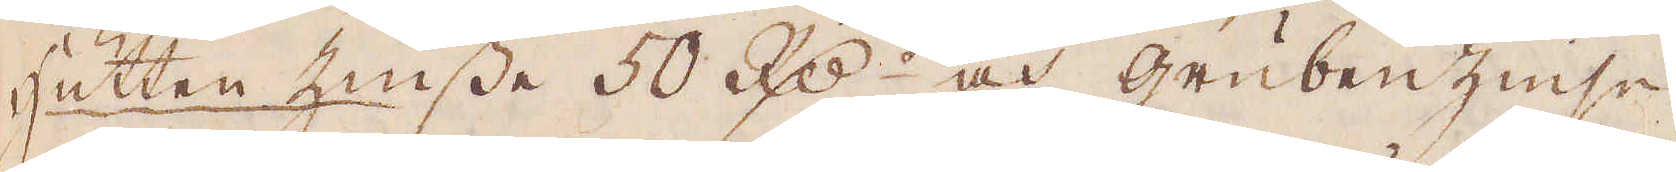hutten Zinsse 50 R:dr och grubenzinse
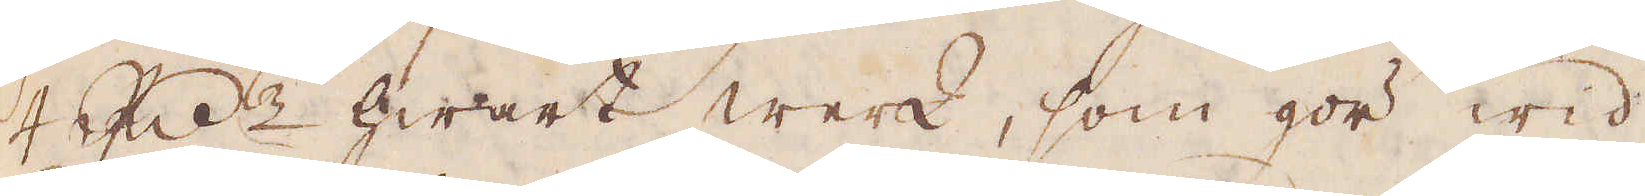4 R:dr hwart werk, som gör wid
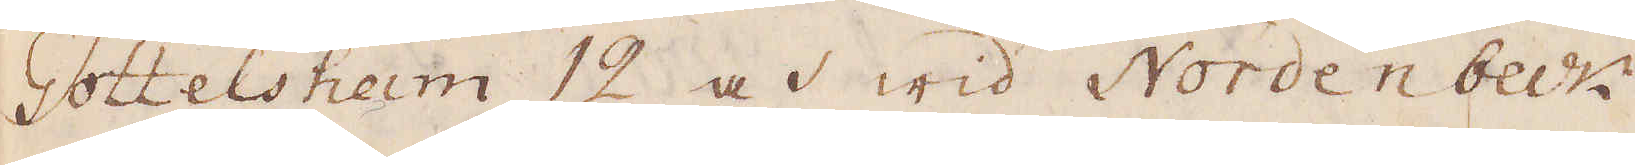Gottelshem 12 och wid Nordenbeck-
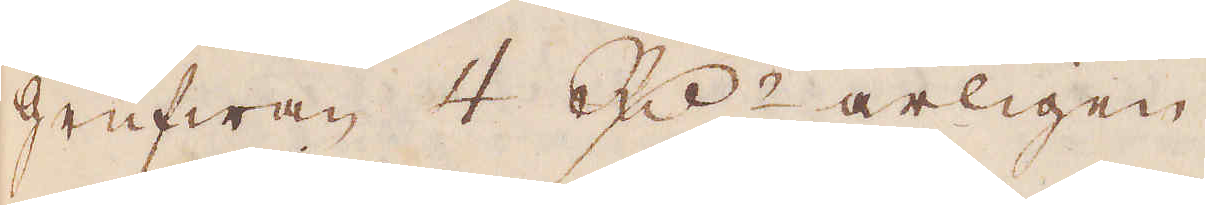grufwan 4 R:dr årligen.
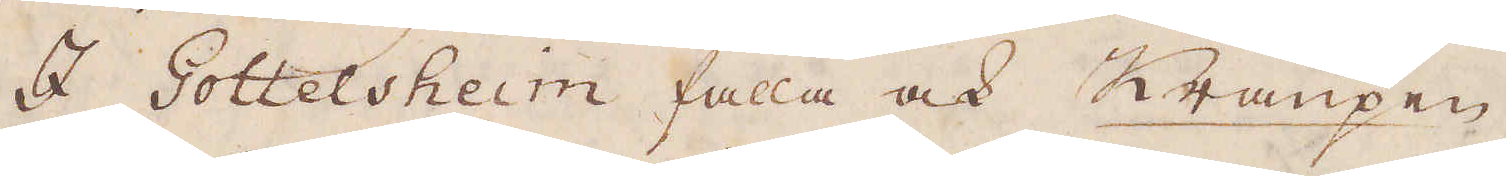I Gottelsheim falla ock Kraupen,
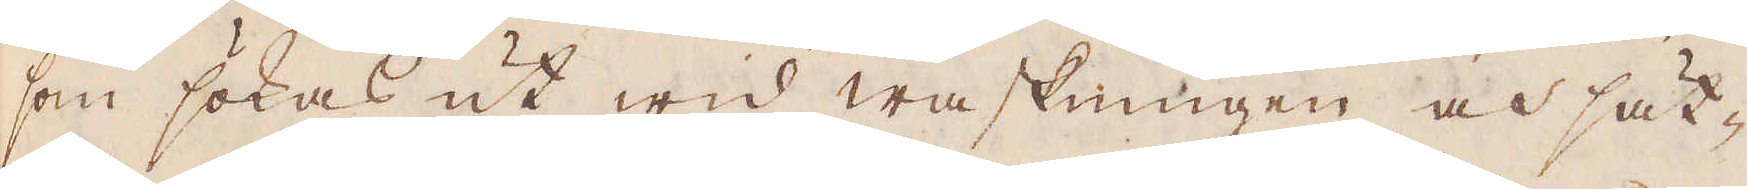som sökas ut wid waskningen och sät-
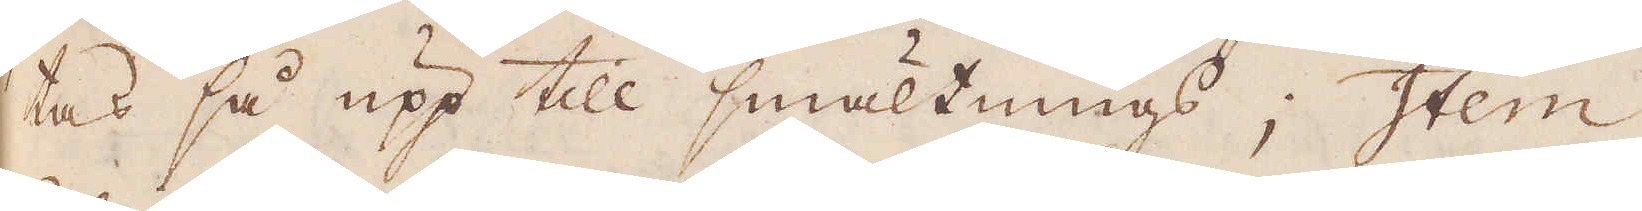tas så upp till smältnings; Item
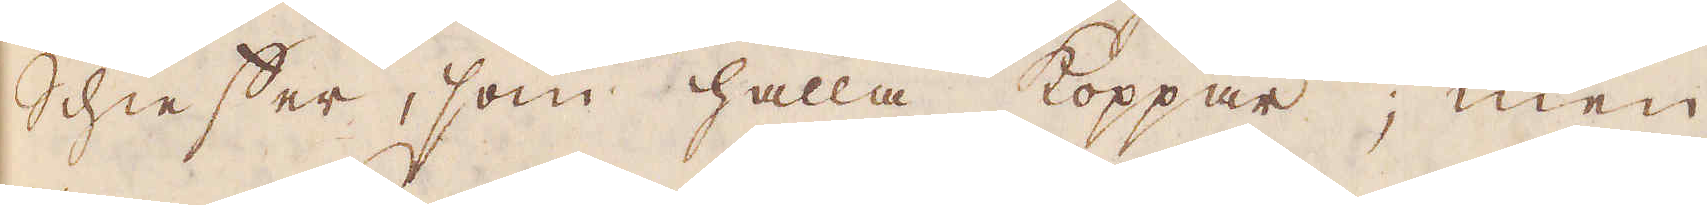Schieffer, som hålla koppar; men
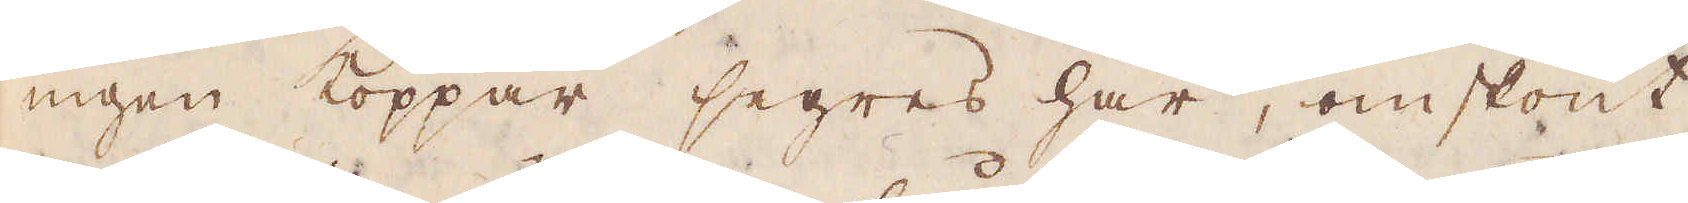ingen koppar segres här, omskönt
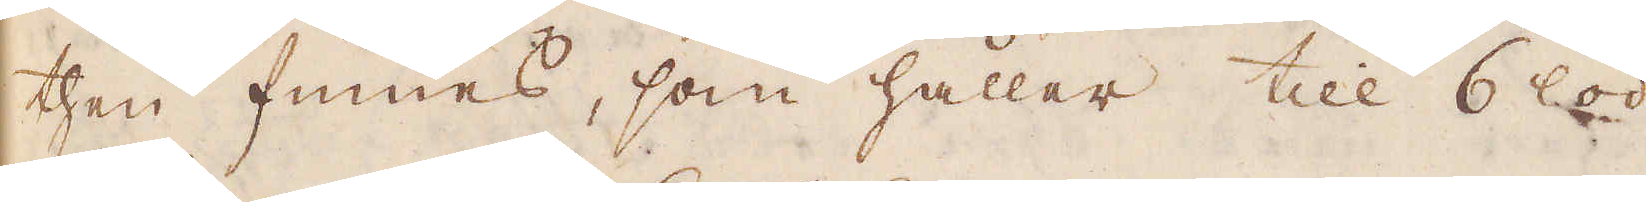then finnes, som håller till 6 lod
